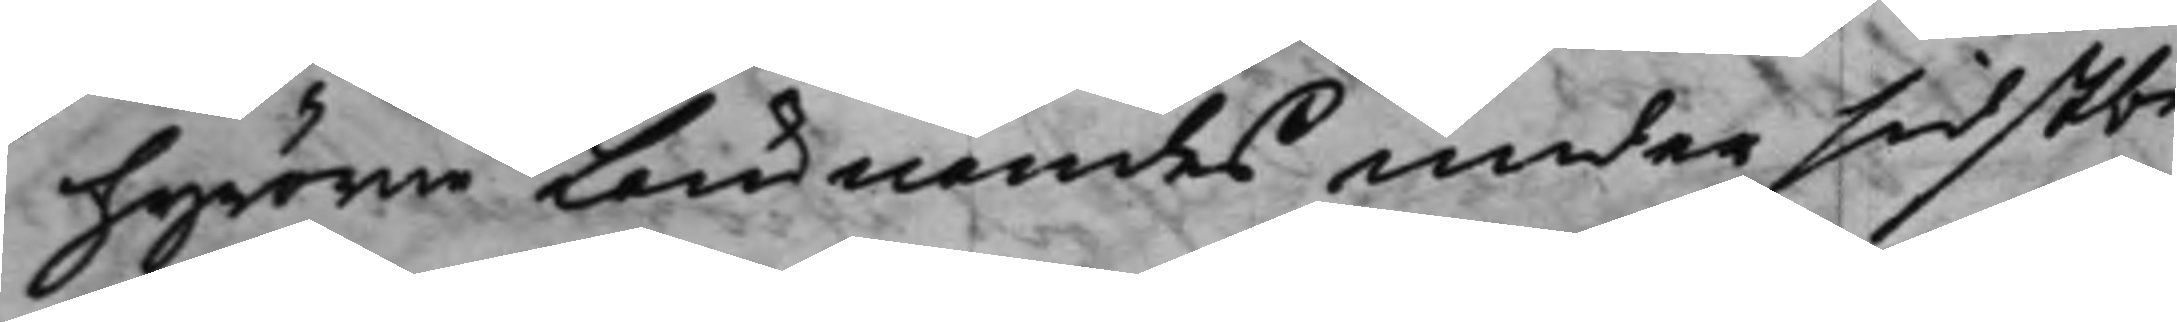hyrorna Lämnandes under sidstbe¬
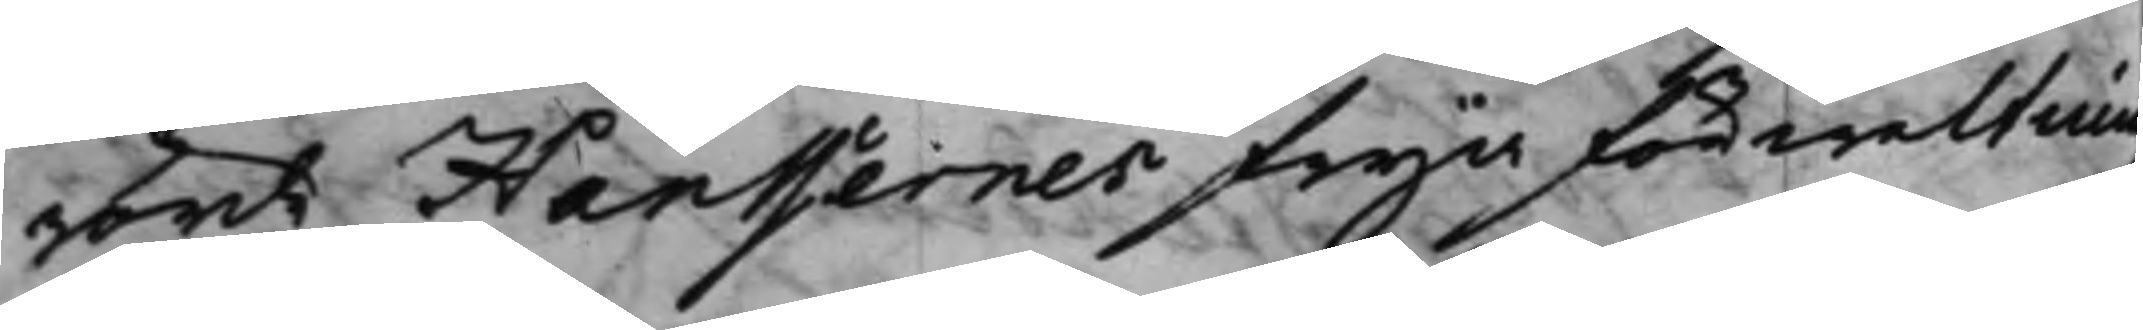rörde Hanssernes fria förwaltning
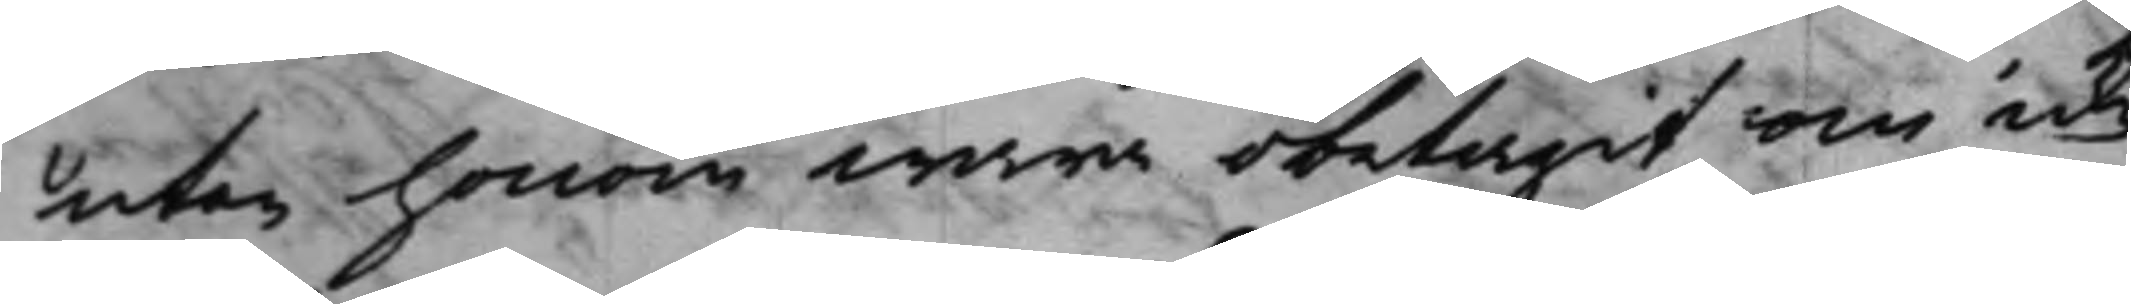utan honom wara obetagit om icke
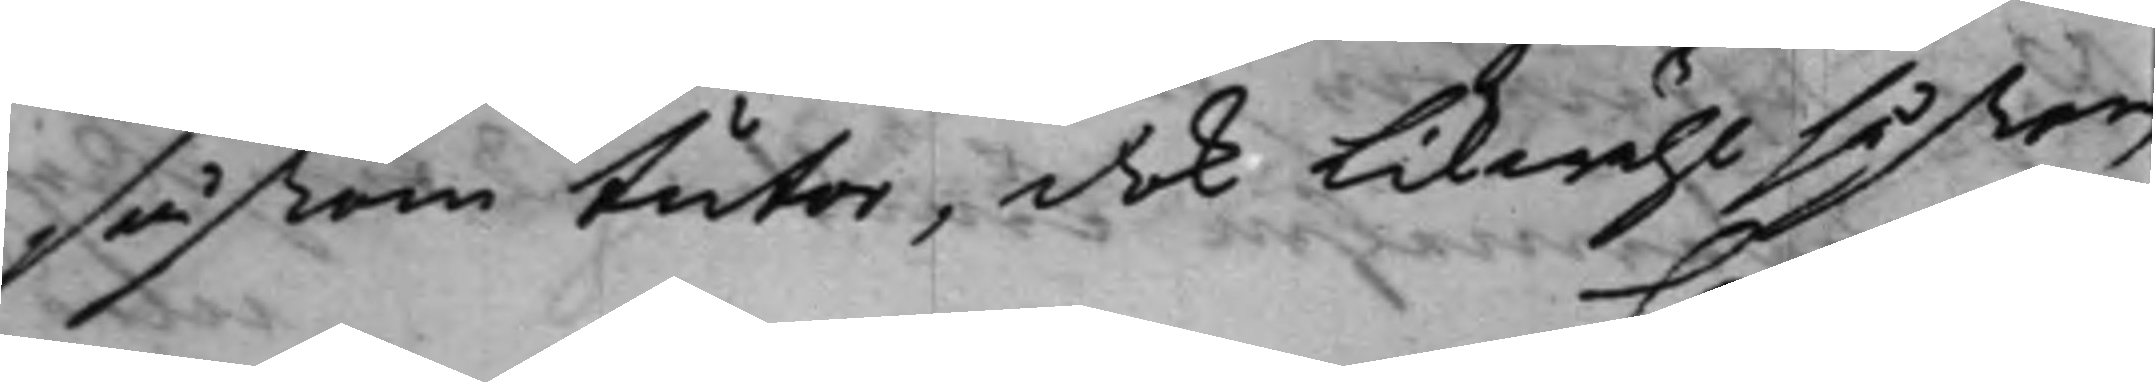såßom tutor, dock likwähl såsom
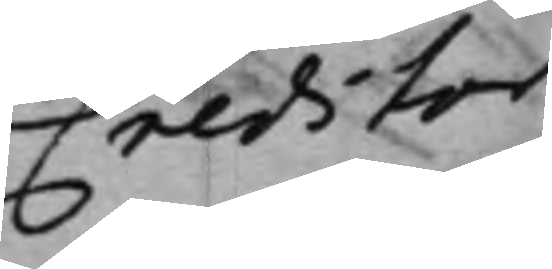Creditor
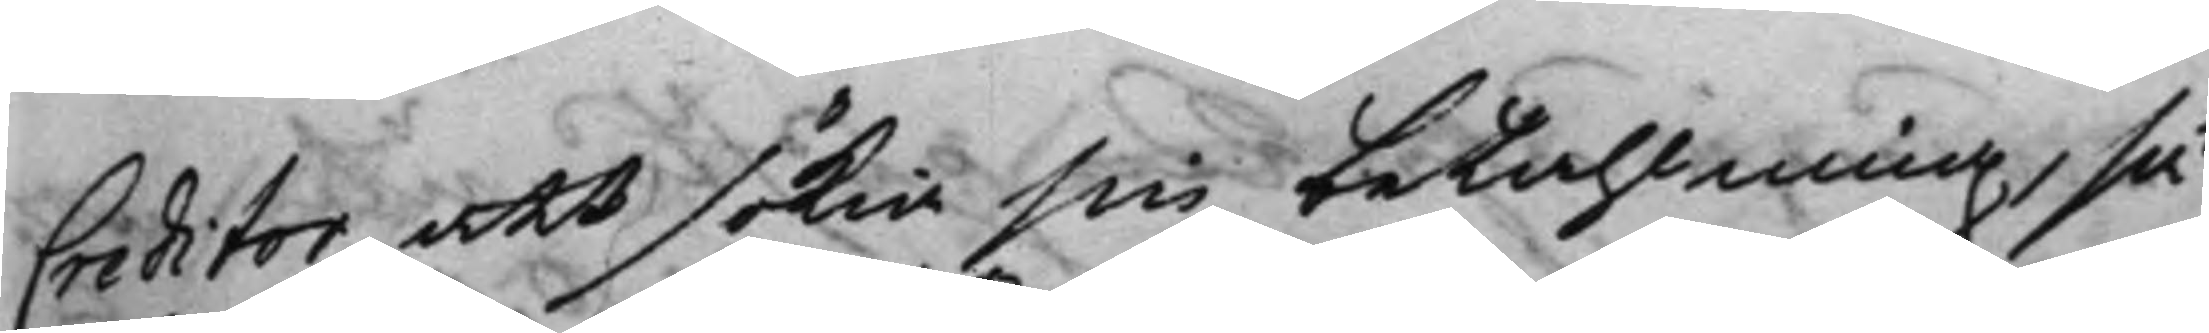Creditor att sökia sin betahlning, så
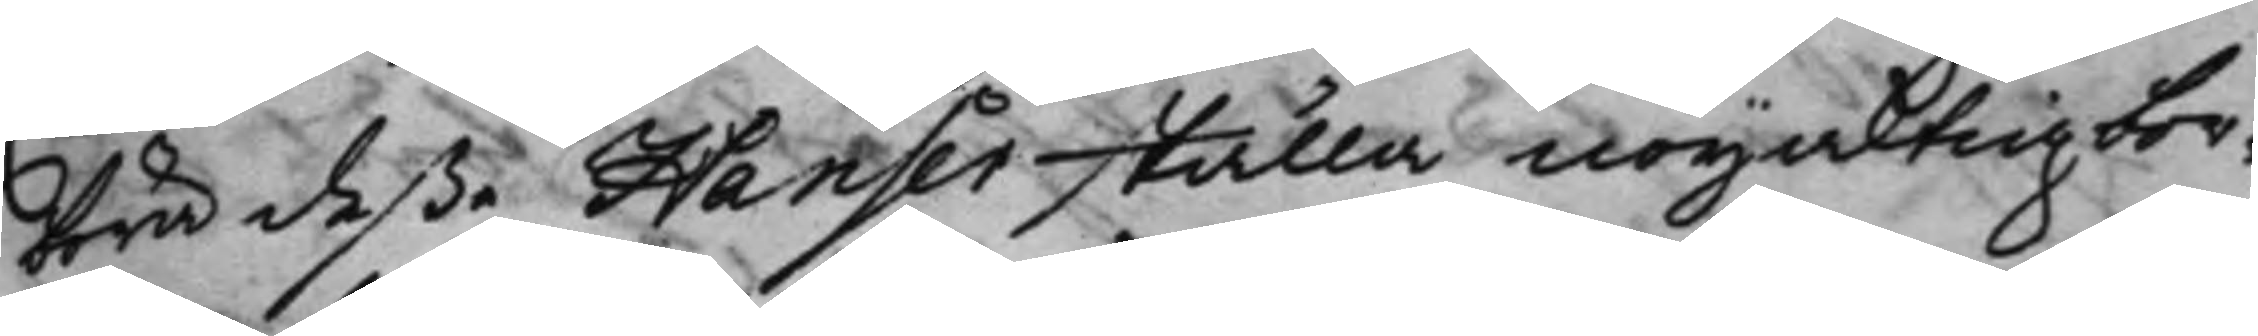böra deße Hanser ställa nöjaktig bor¬
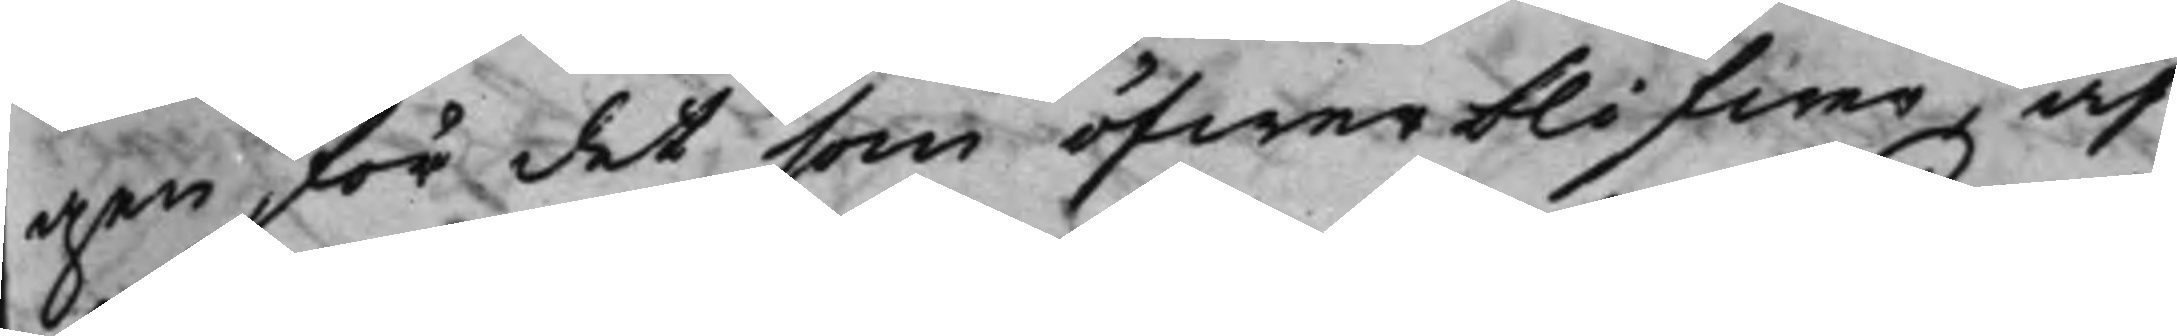gen för det som öfwerblifwer, af
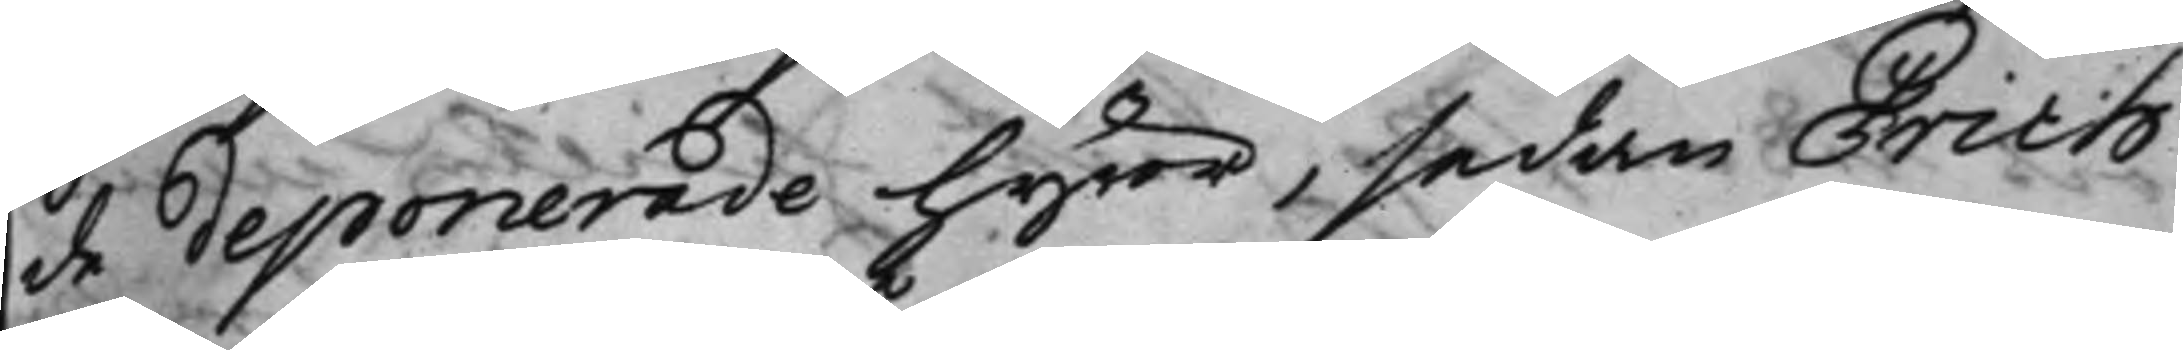de deponerade hyror, sedan Erich
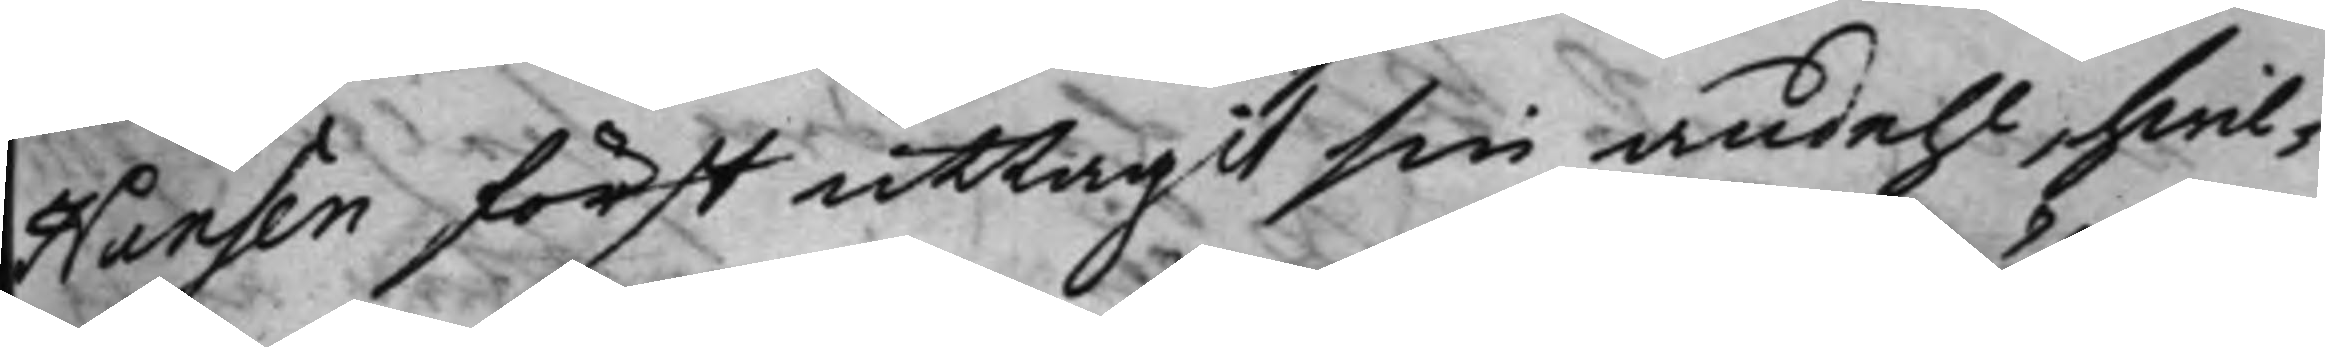Hansen först uttagit sin andehl, hwil¬
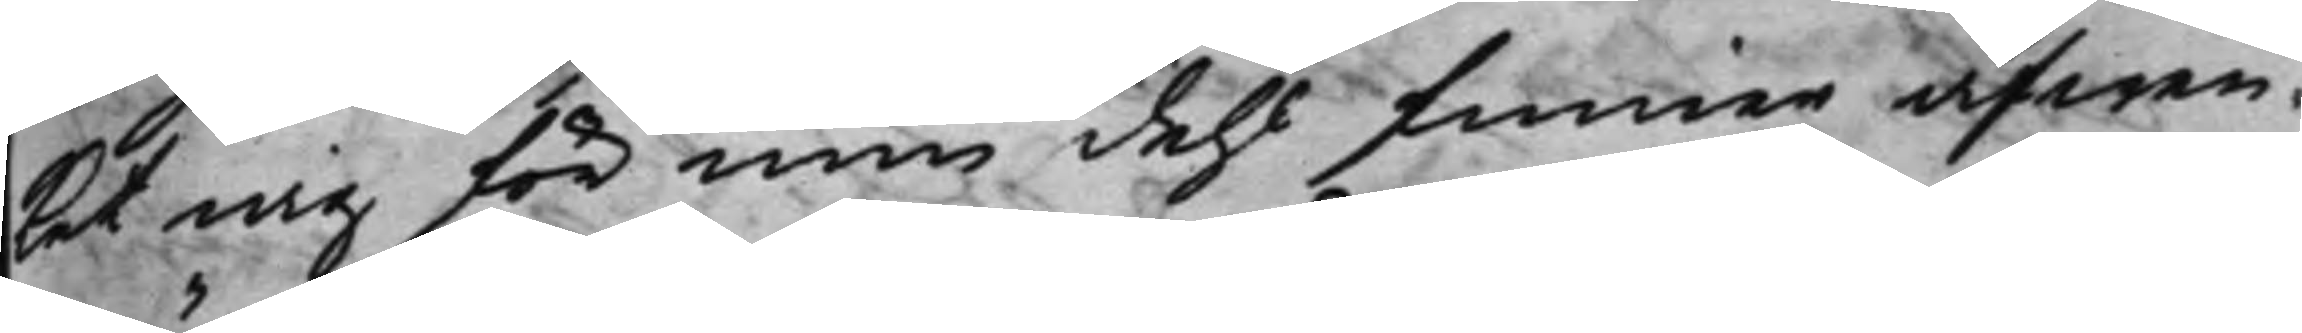ket mig för min dehl finner äfwen
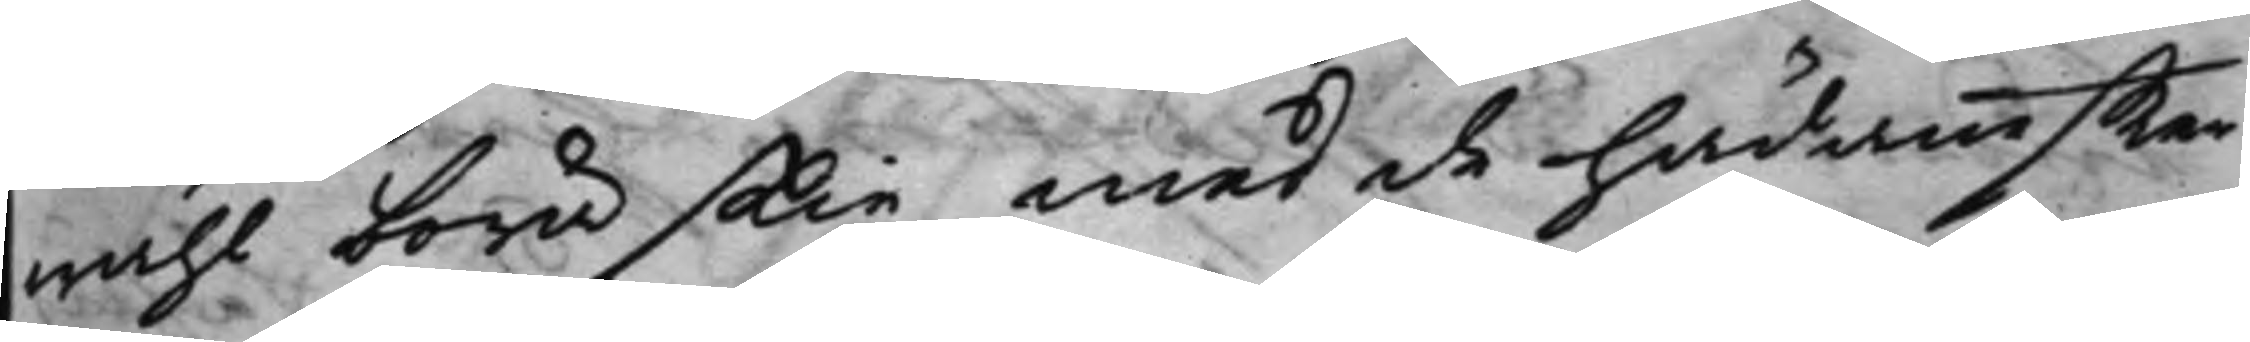wähl böra skie med de hädaneffter
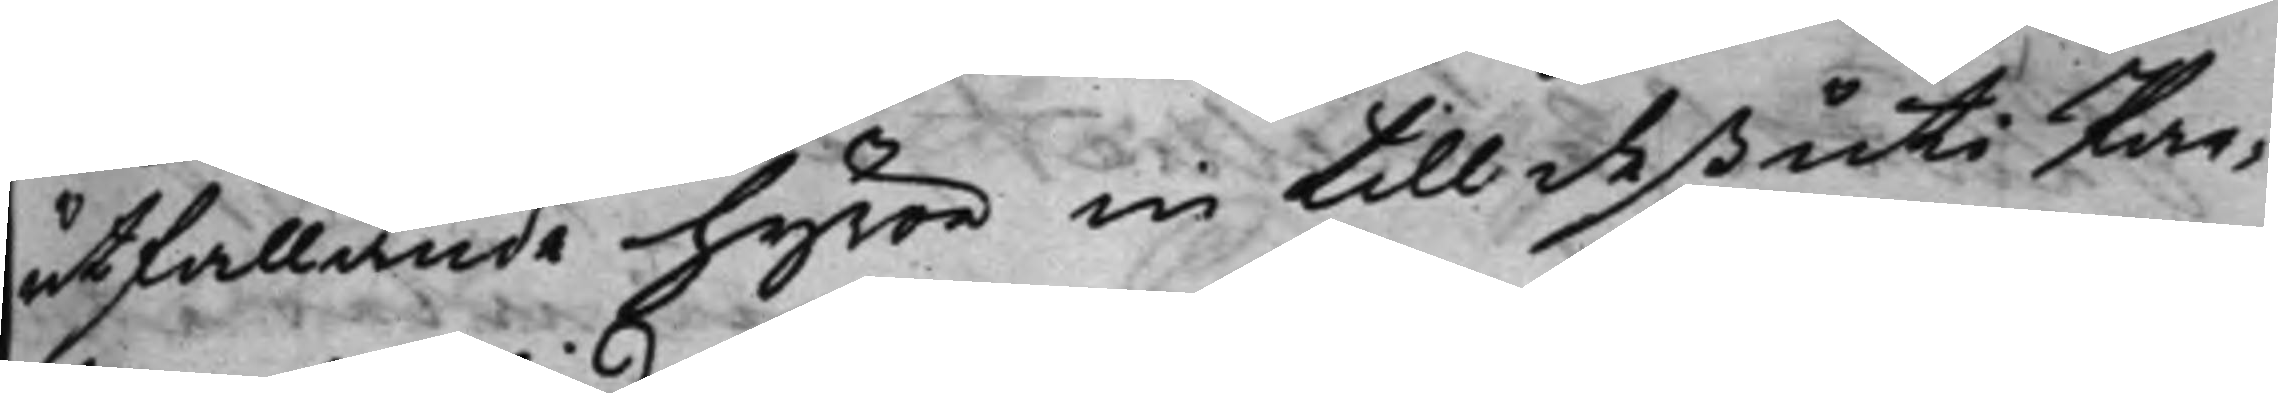utfallande hyror in till deß uti Par¬
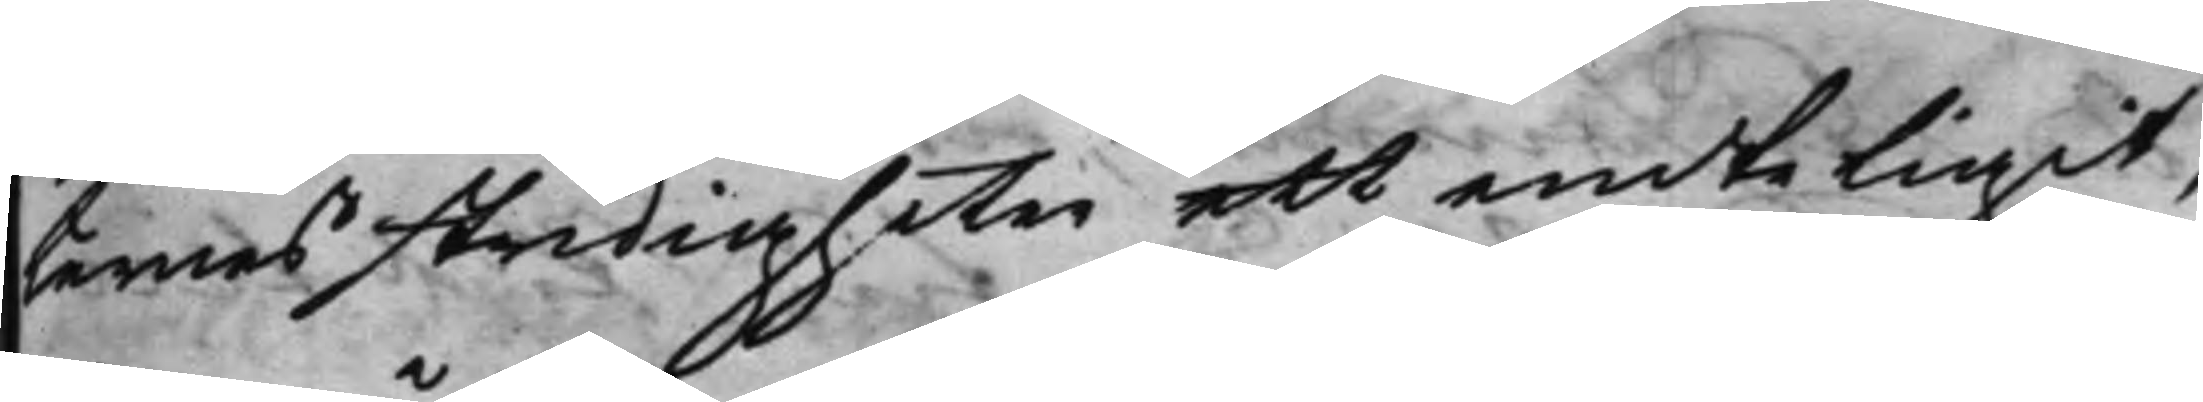ternes stridigheter ett enteligit,
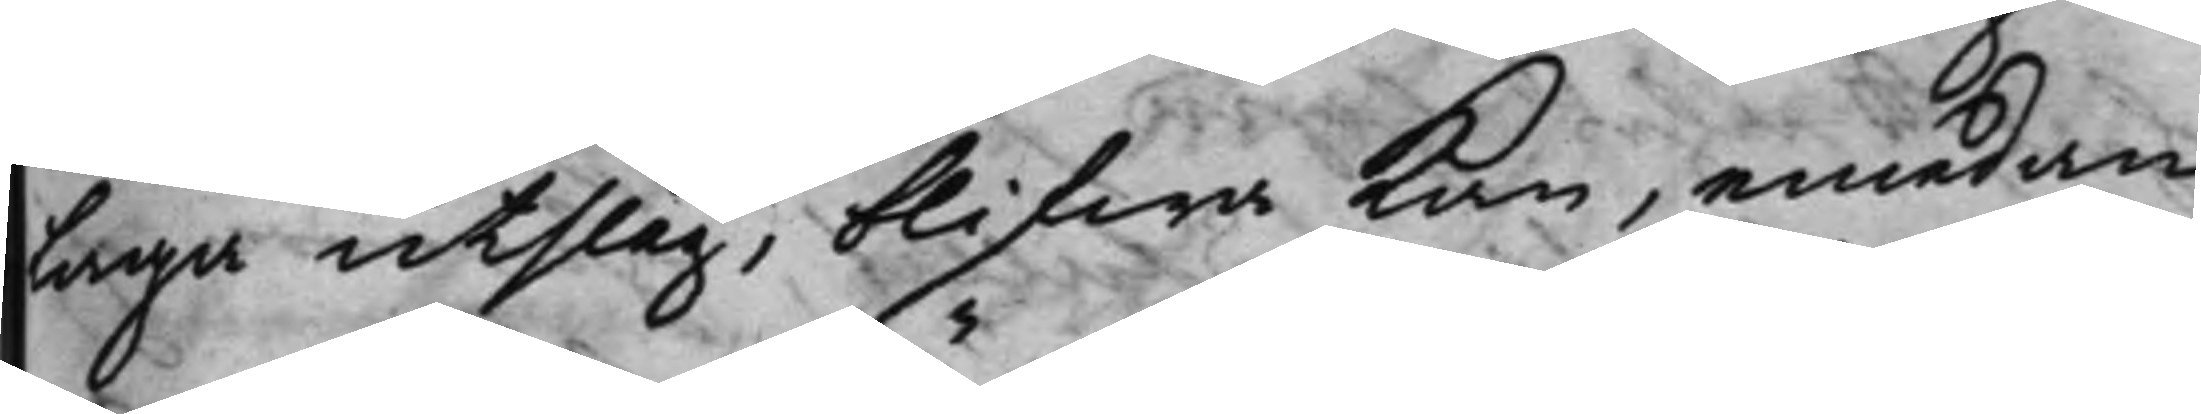Laga utslag, blifwa kan, emedan
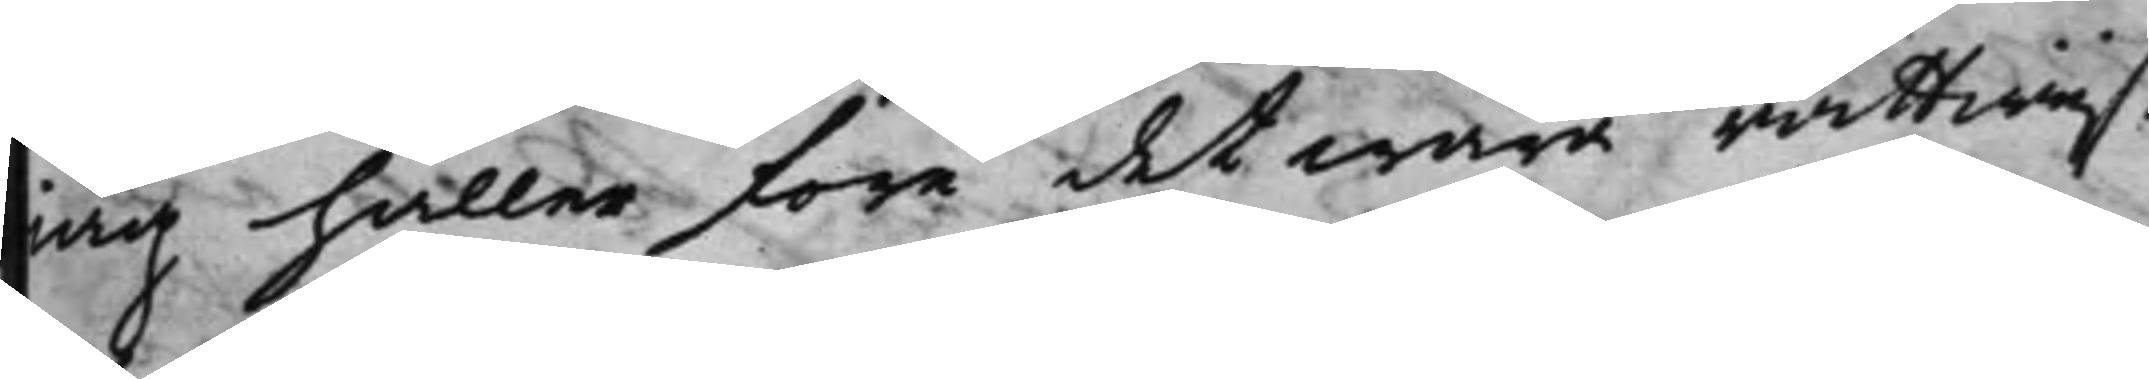iag håller före det wara rättwijst
